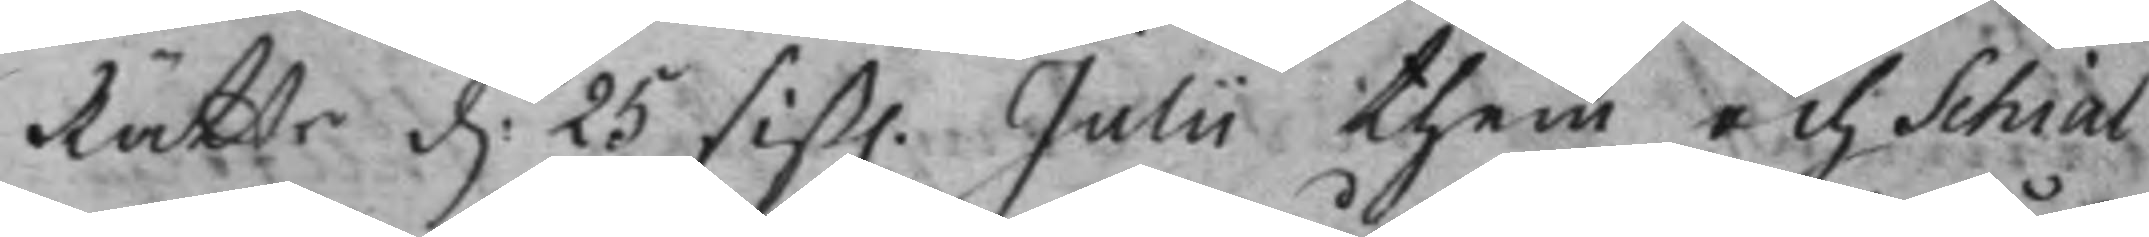Rätts d. 25 sist. Julii them och Schial 
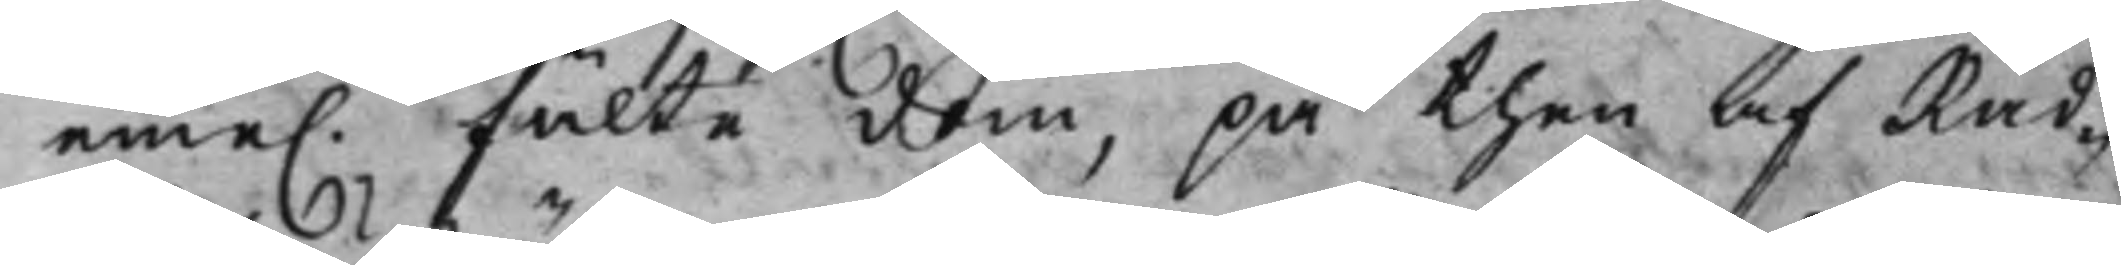eme. fälte dom, på then af Råd¬ 
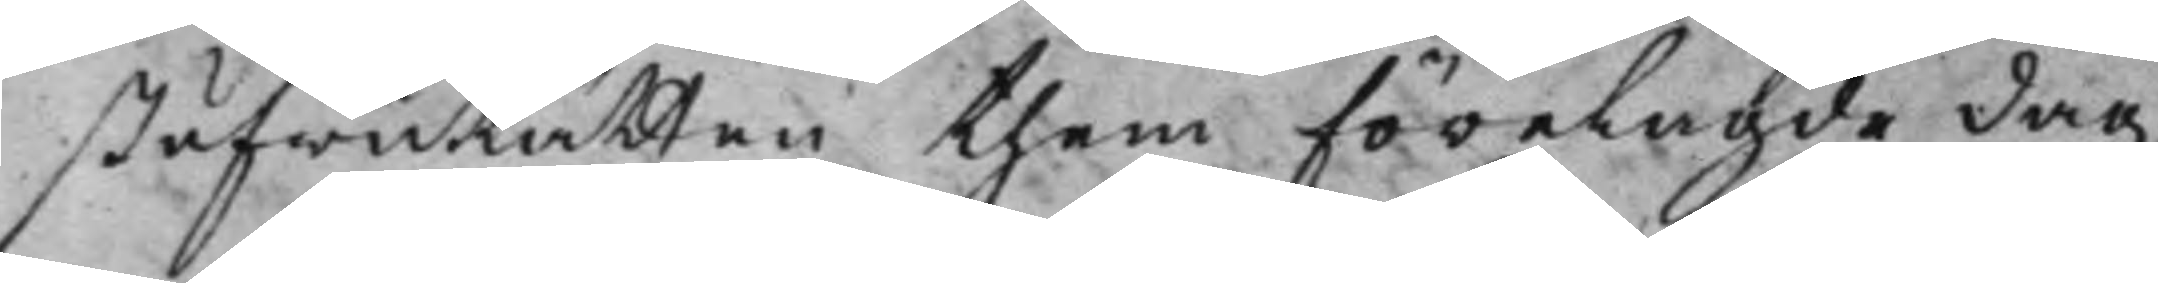ståfwuRätten them förelagde dag
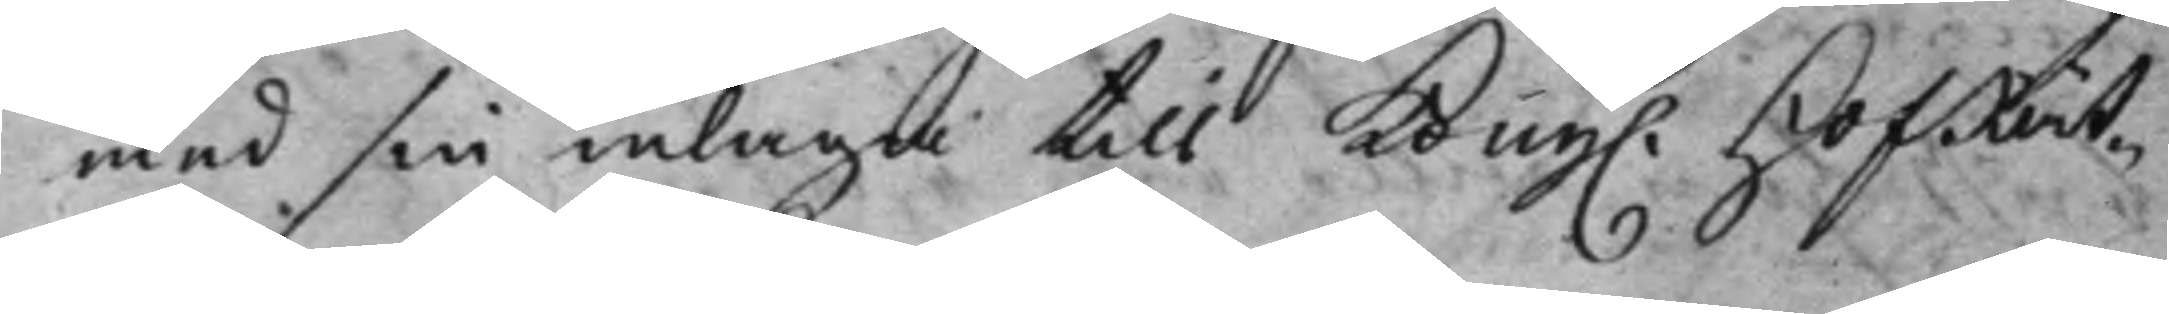med sin inlaga till Kong. HofRät¬ 
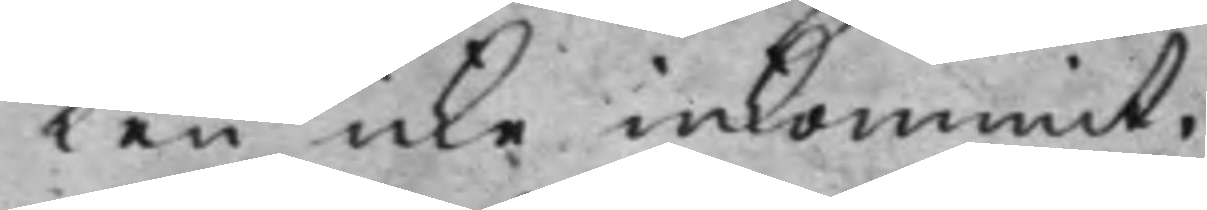ten icke inkommit.
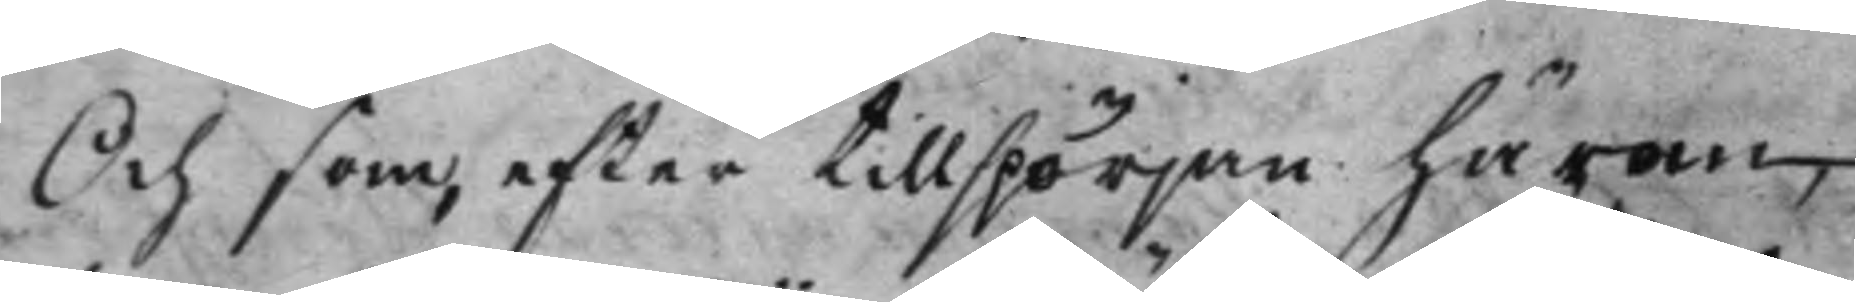Och som, efter tillspörjan härom,
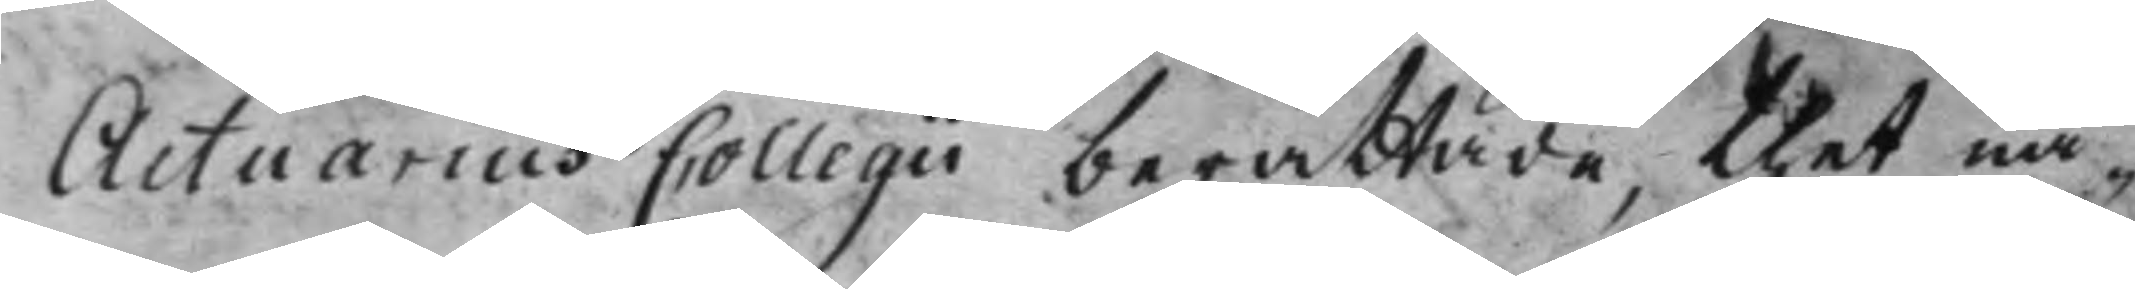Actuarius Collegii berättade, thet nå¬
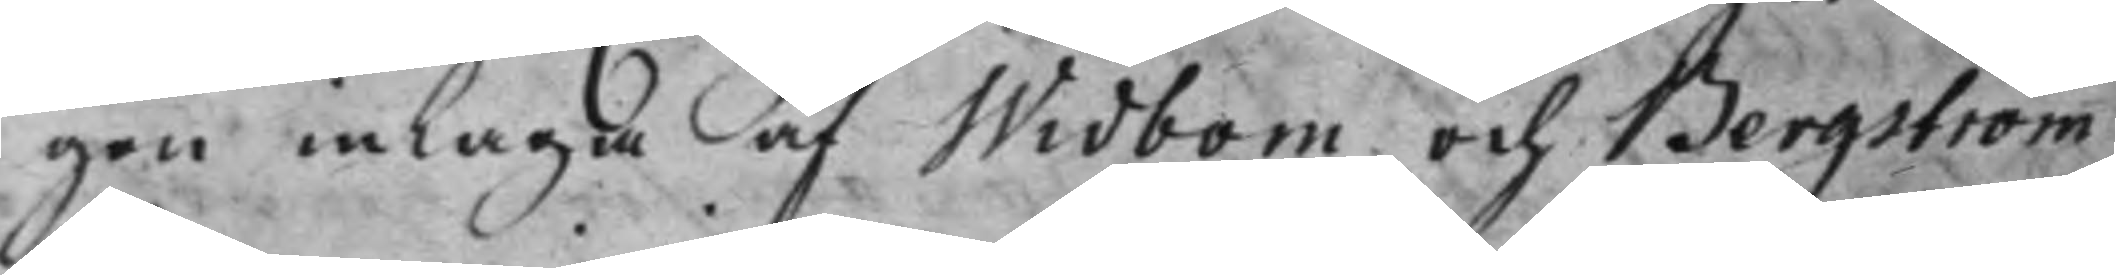gon inlaga af Widbom och Bergström
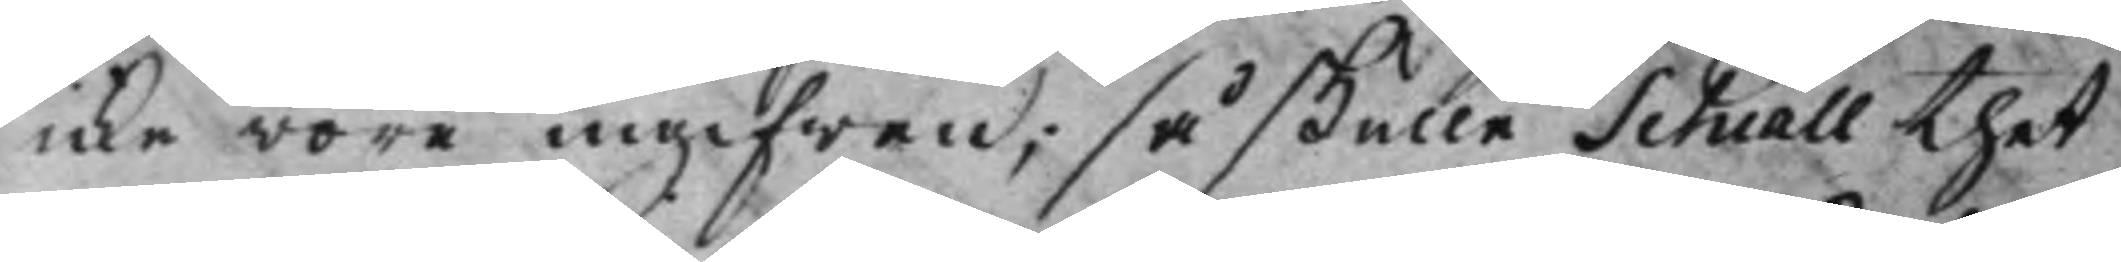icke wore ingifwen, så skulle Schiall thet
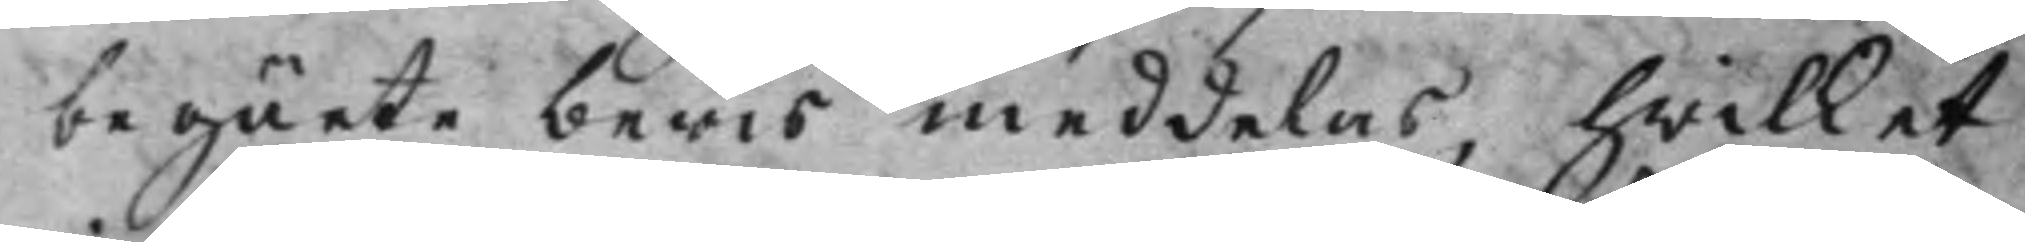begärte bewis meddelas, hwilket
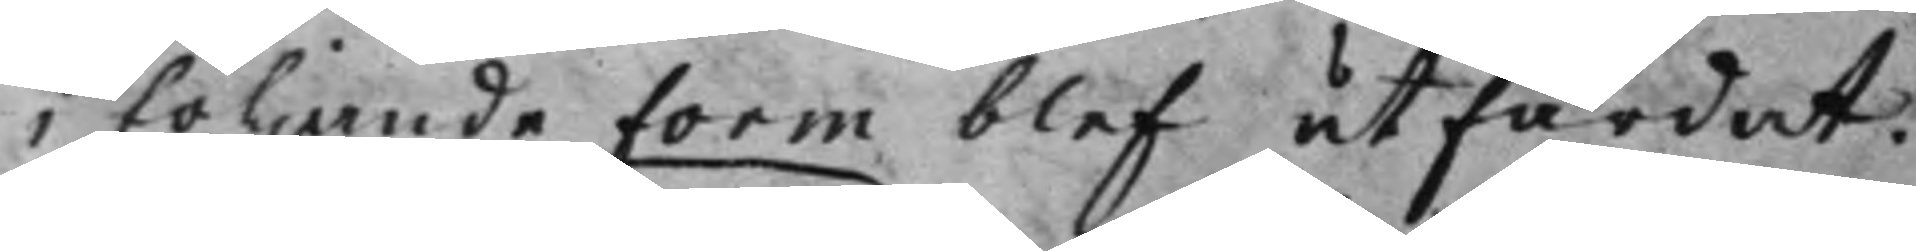i följande Form blef utfärdat.
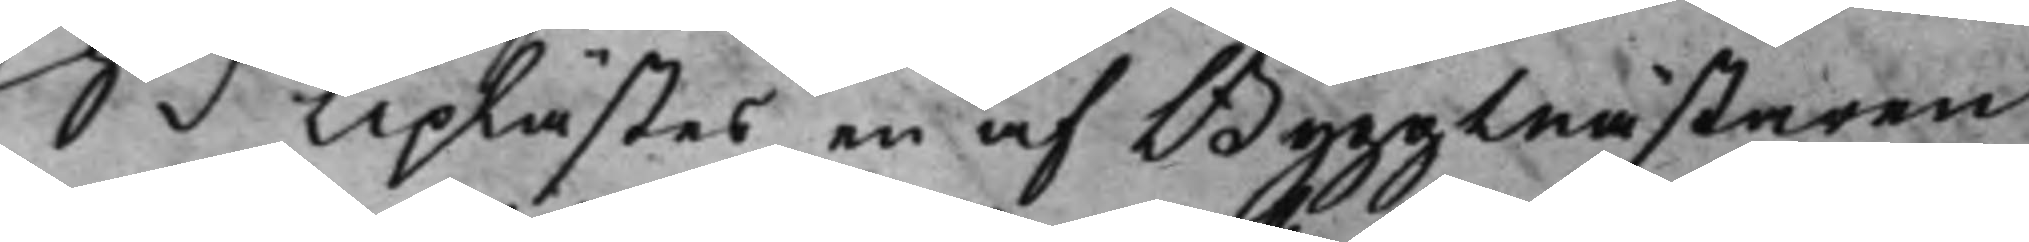S d Uplästes en af Byggmästaren
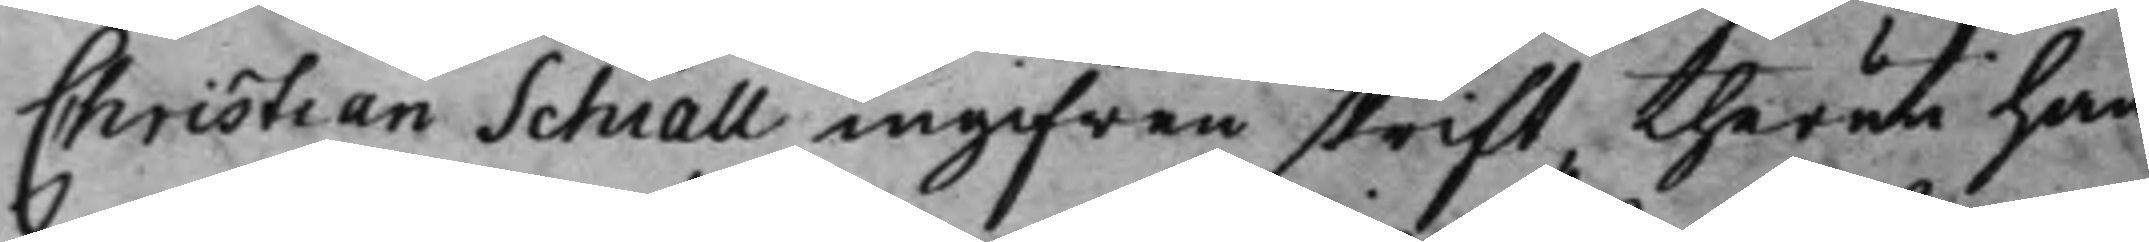Christian Schiall ingifwen skrift, theruti han
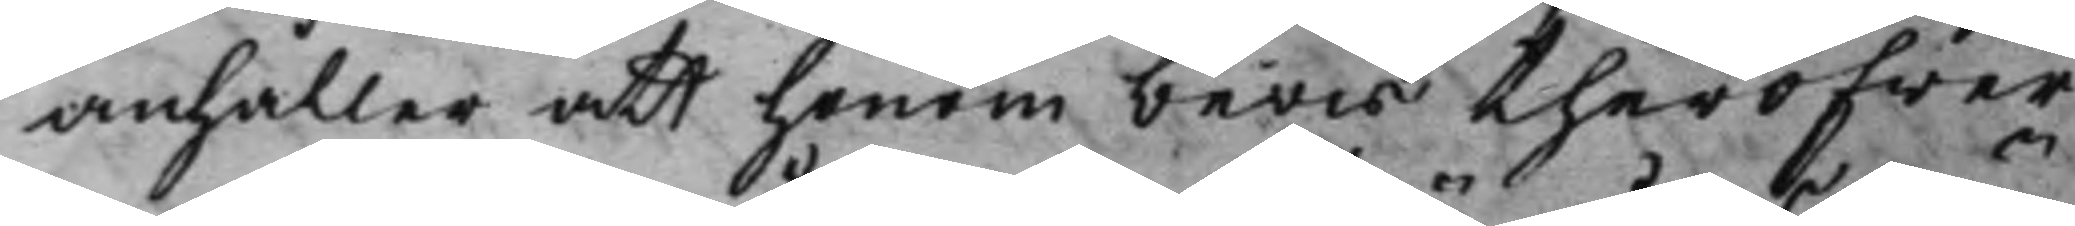anhåller att honom bewis theröfwer
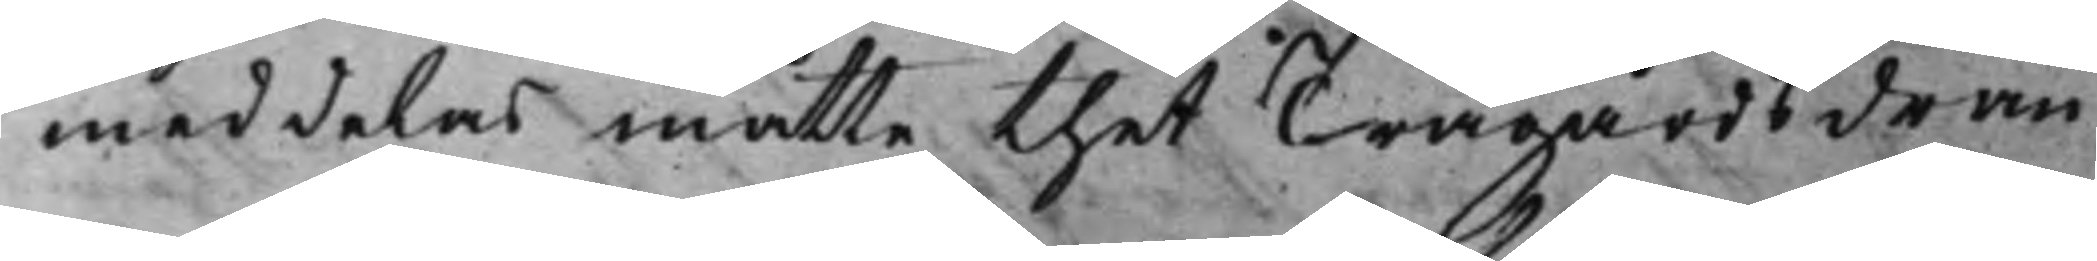meddelas måtte, thet Trägårdsdrän¬
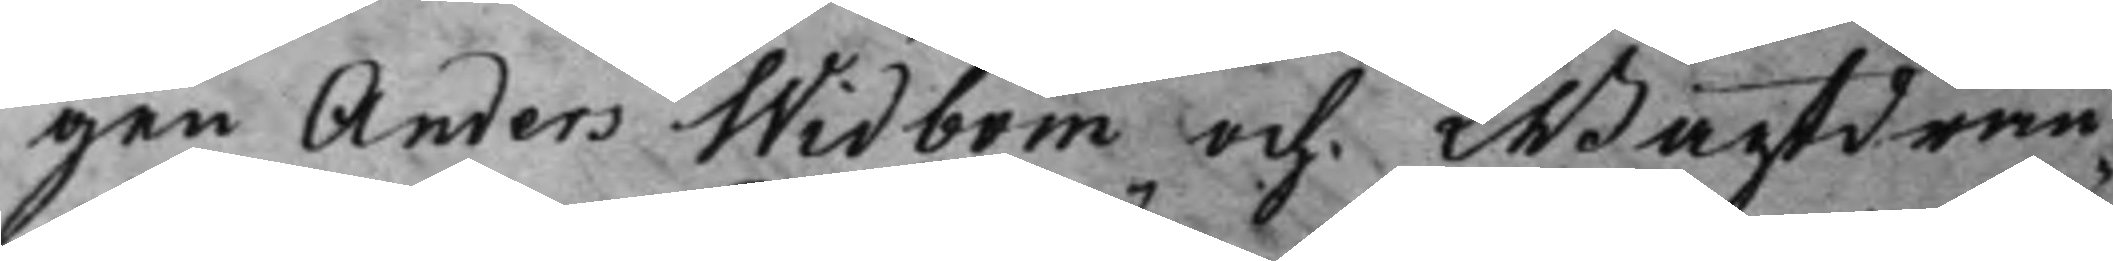gen Anders Widbom och Wagtdrän¬
